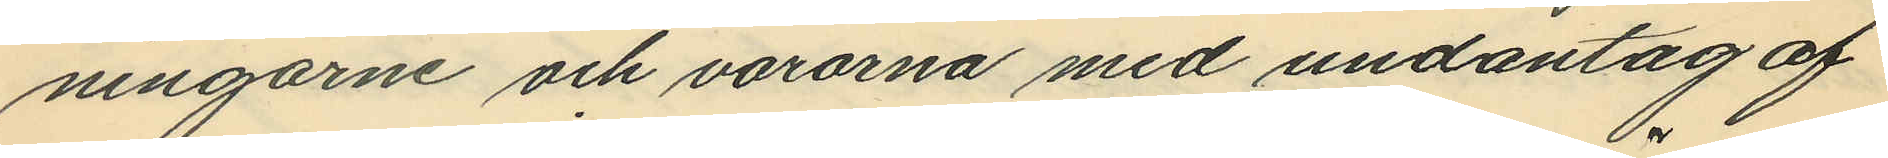ningarne och varorna med undantag af
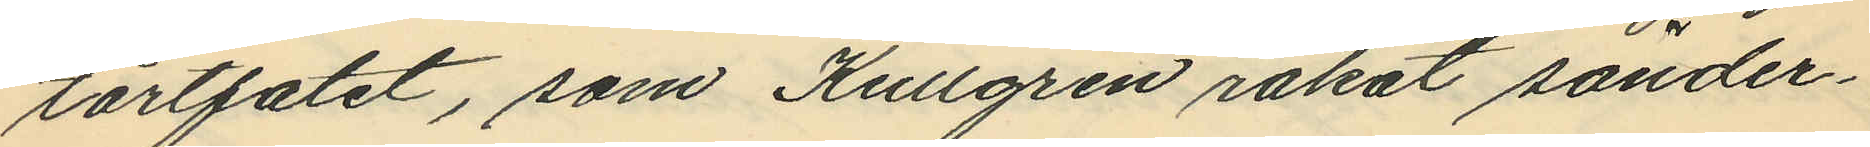tårtfatet, som Kullgren råkat sönder¬
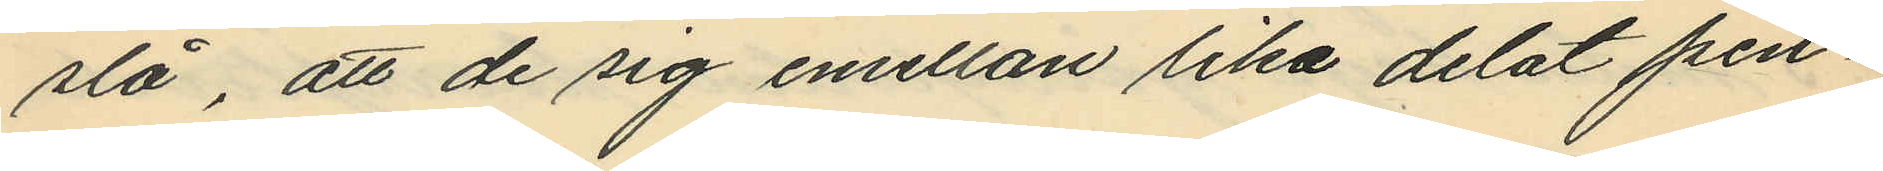slå, att de sig emellan lika delat pen¬
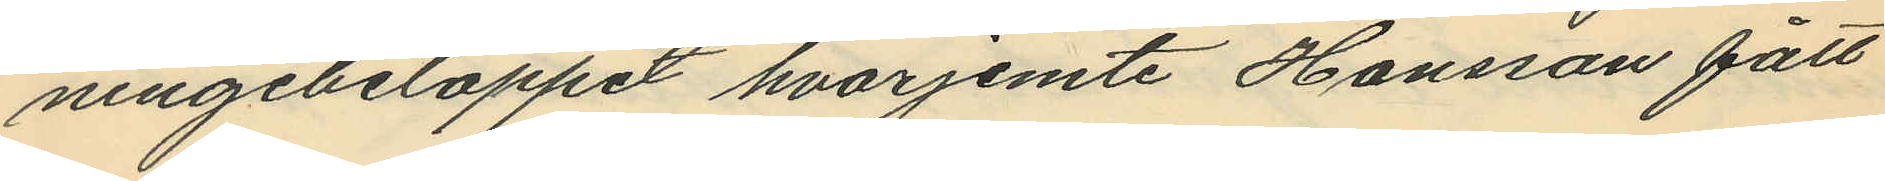ningebeloppet hvarjemte Hansson fått
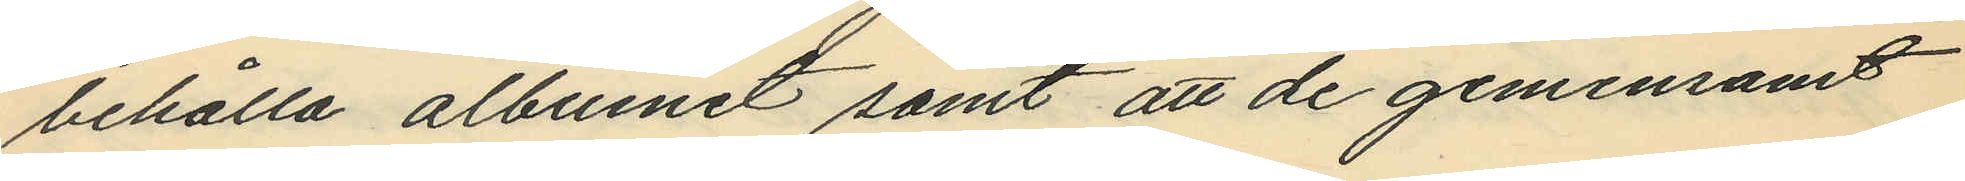behålla albumet samt att de gemensamt
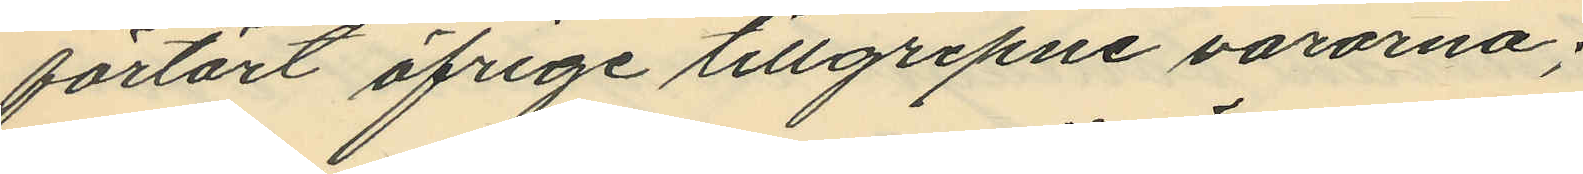förtärt öfrige tillgripne varorna;
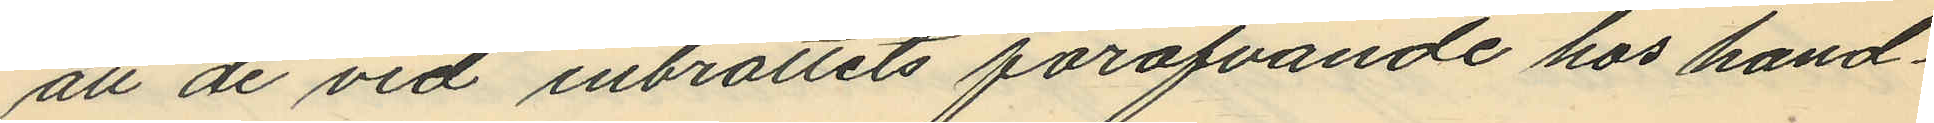att de vid inbrottets föröfvande hos hand¬
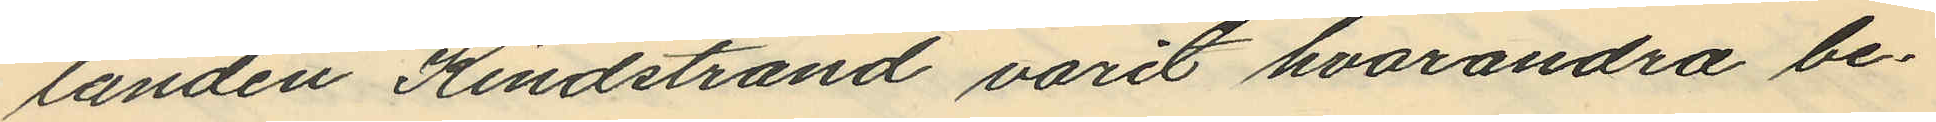landen Kindstrand varit hvarandra be¬
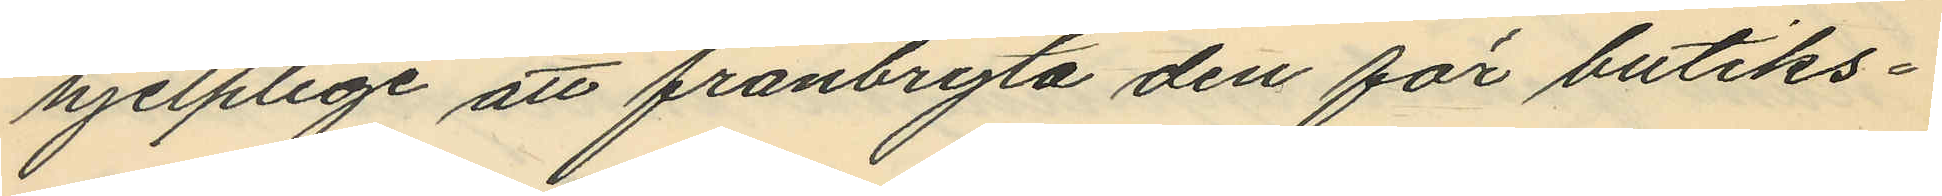hjelplige att frånbryta den för butiks¬
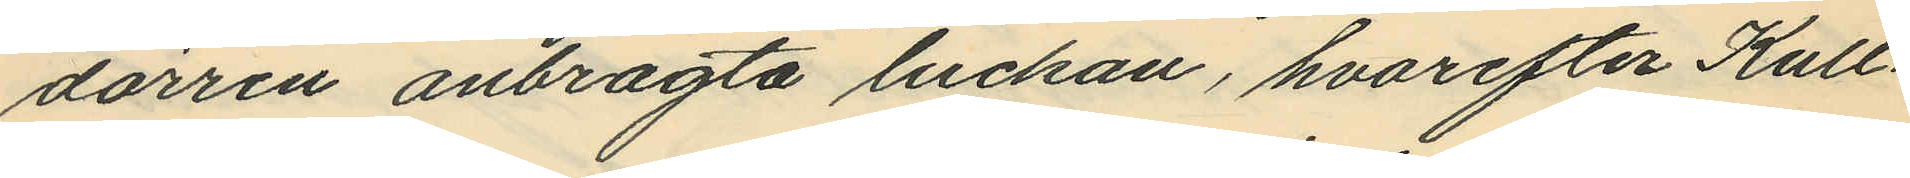dörren anbragta luckan, hvarefter Kull¬
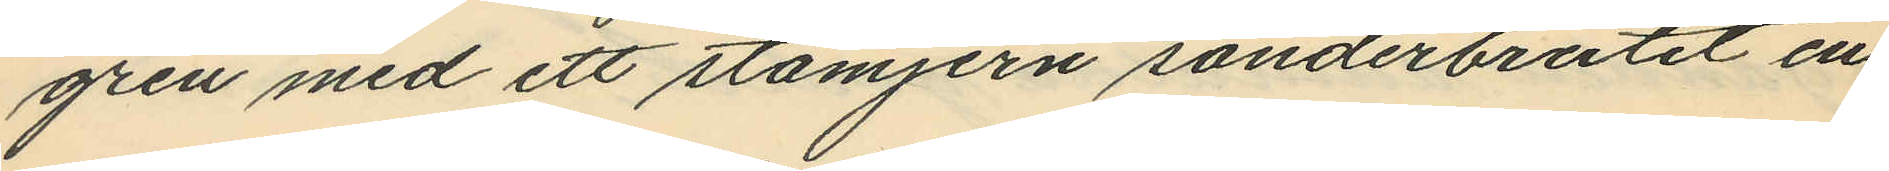gren med ett stämjern sönderbrutit en
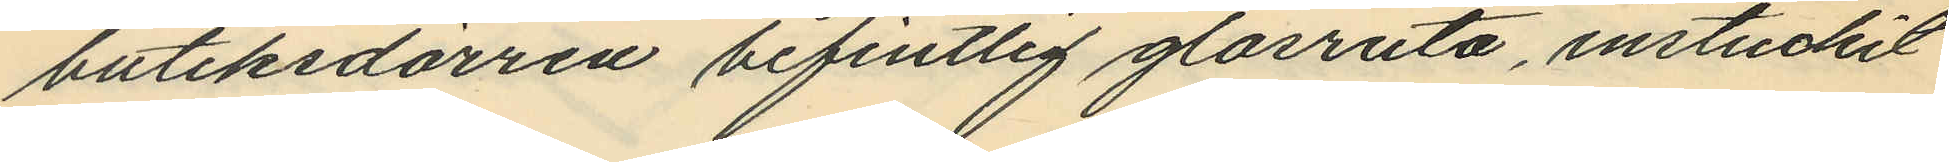butiksdörren befintlig glasruta, instuckit
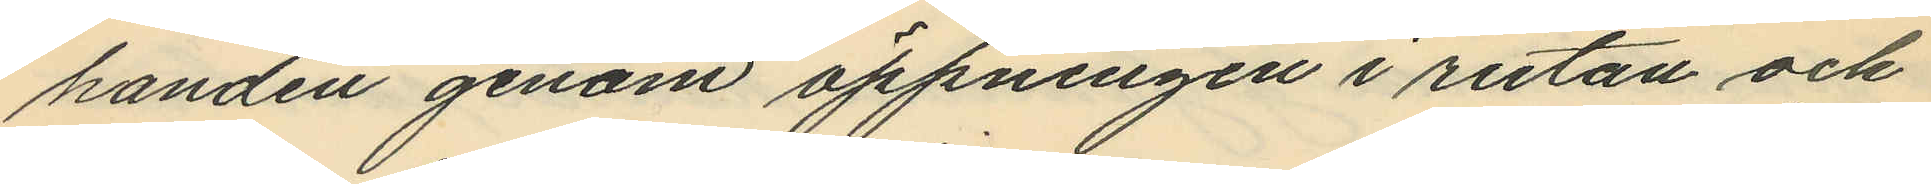handen genom öppningen i rutan och
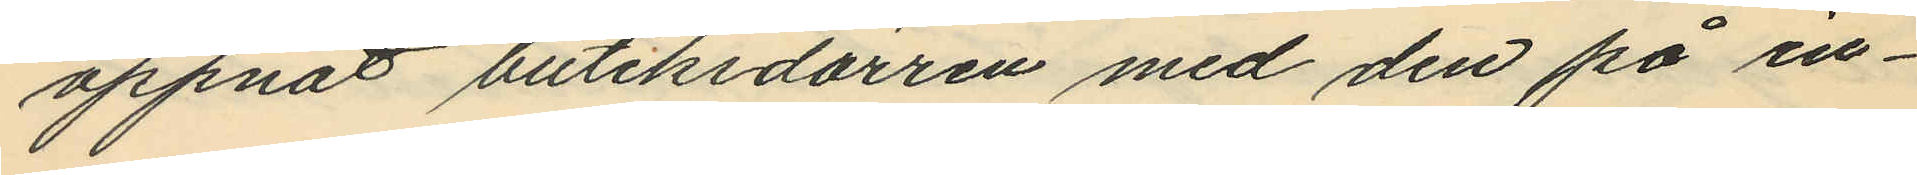öppnat butiksdörren med den på in¬
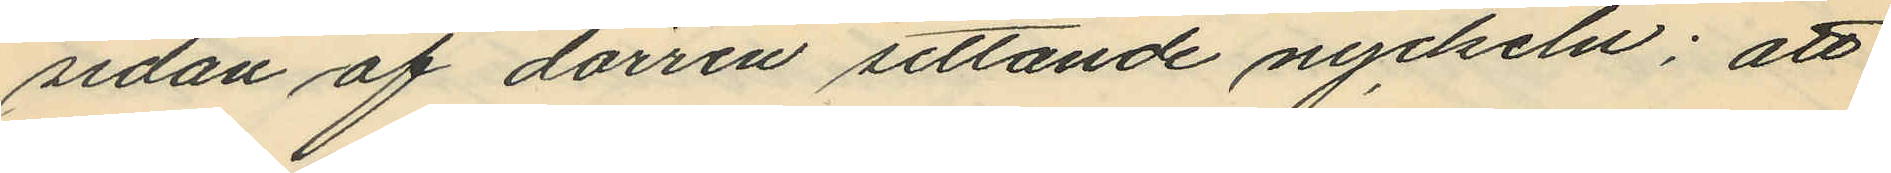sidan af dörren sittande nyckeln; att
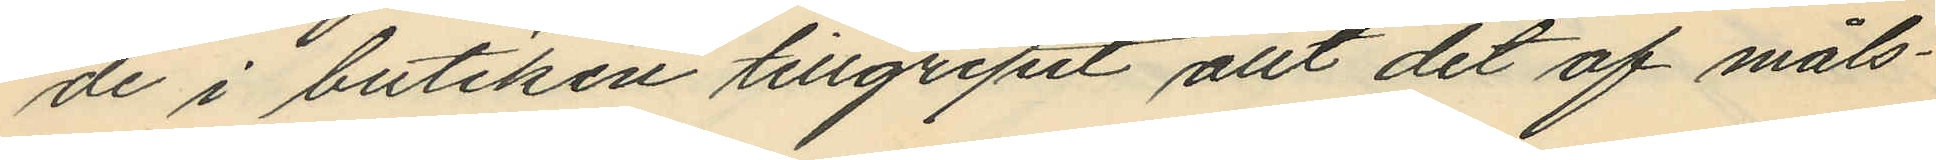de i butiken tillgripit allt det af måls¬
